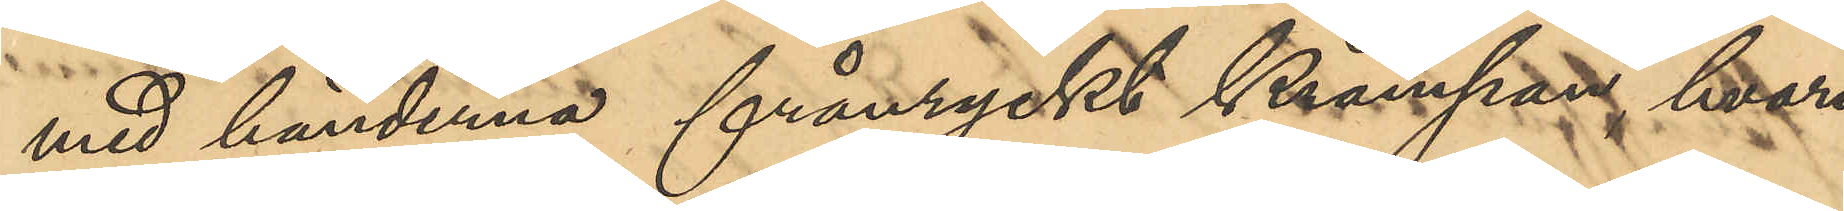med händerna frånryckt krampan hvari
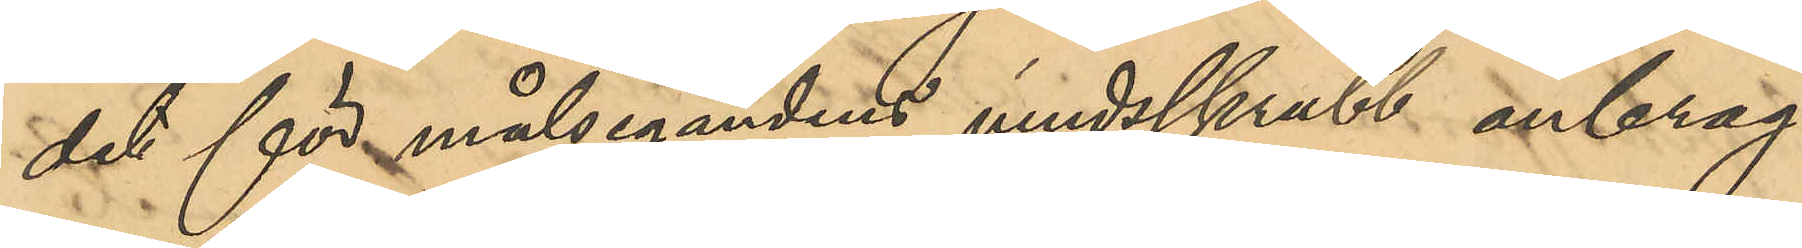det för målsegandens vindsskrubb anbrag¬
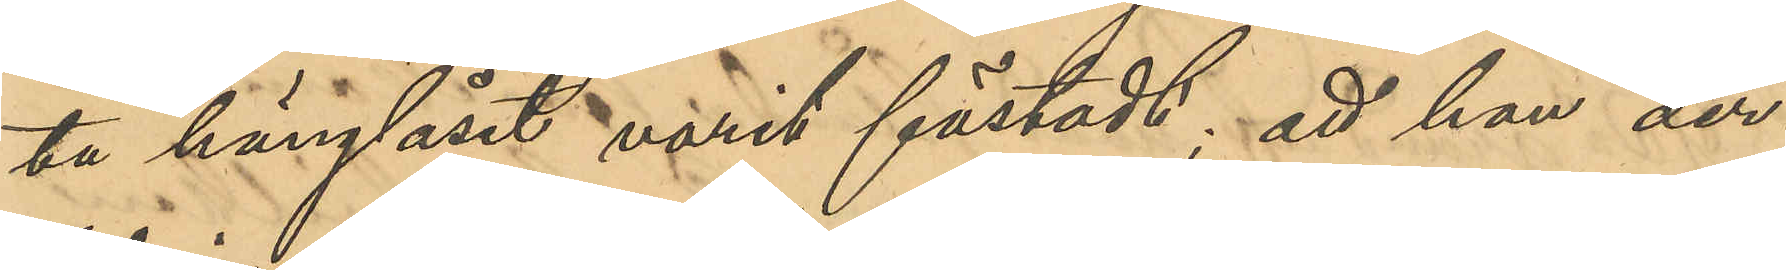ta hänglåset varit fästadt; att han der¬
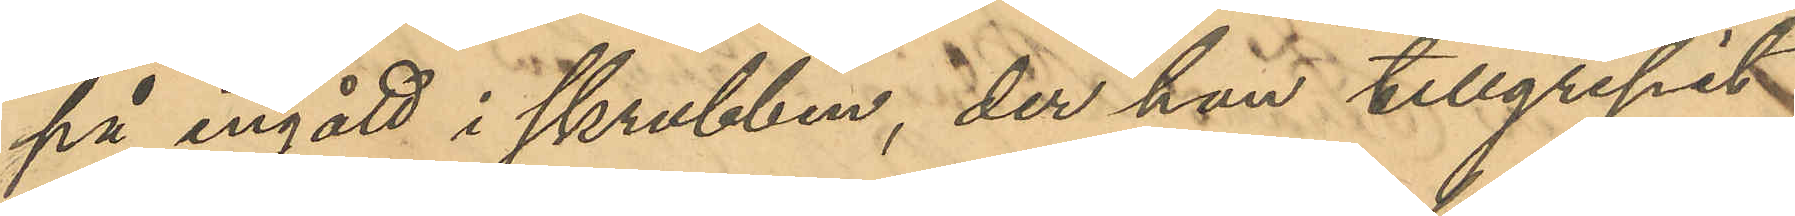på ingått i skrubben, der han tillgripit
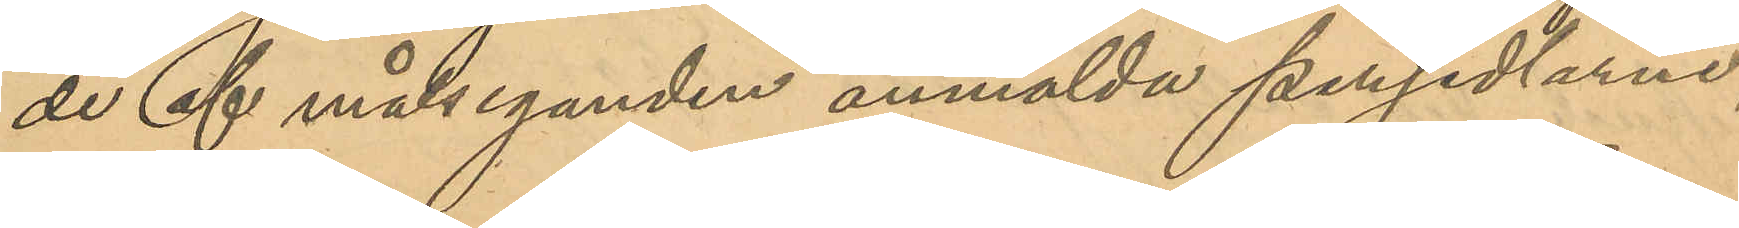de af målseganden anmälde persedlarne,
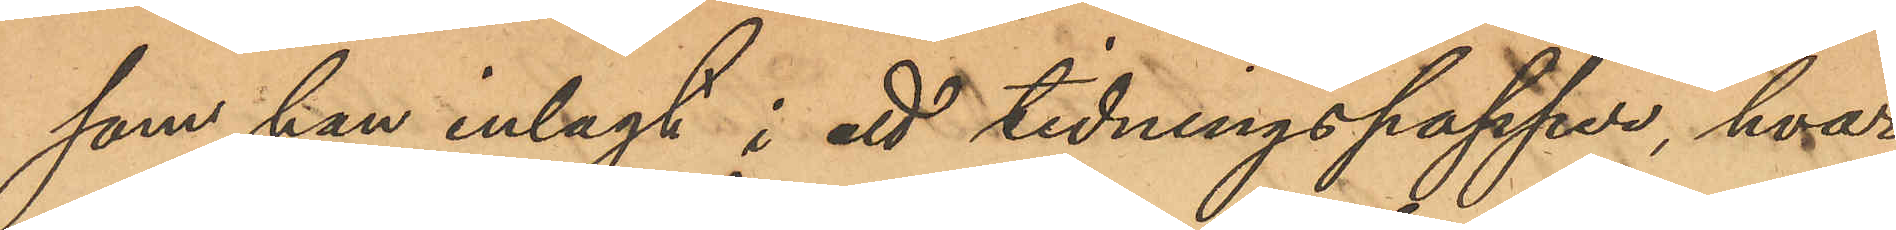som han inlagt i ett tidningspapper, hvar¬
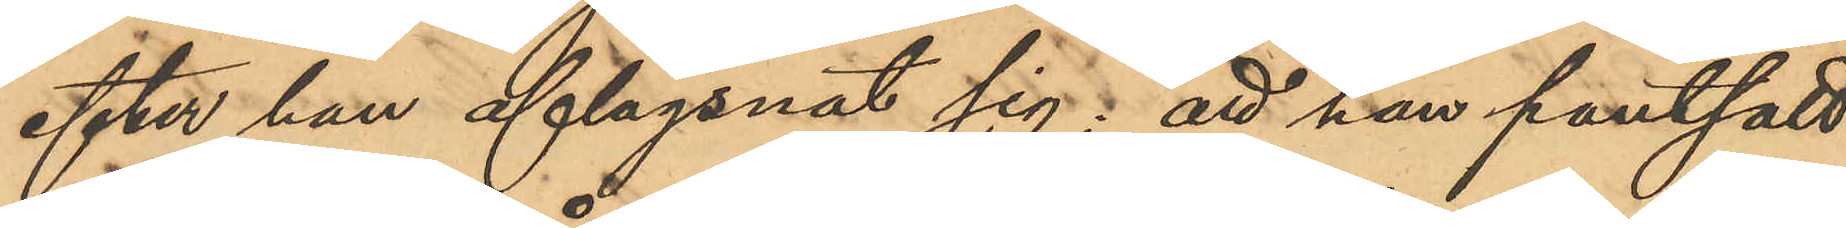efter han aflägsnat sig; att han pantsatt
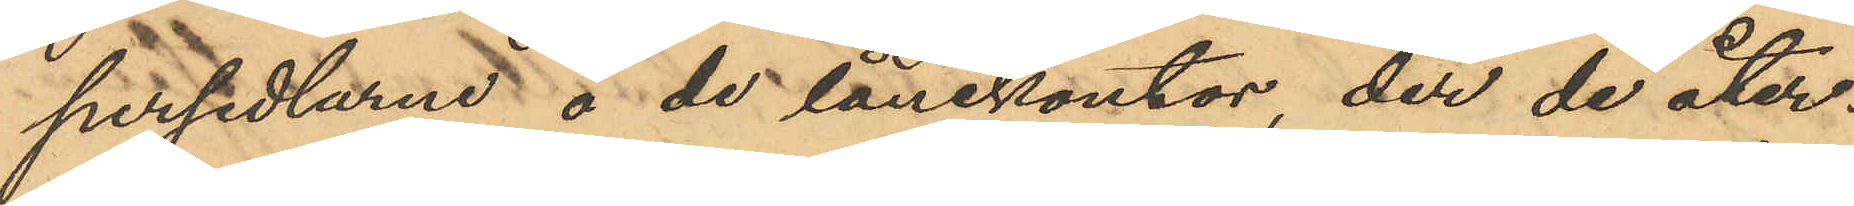persedlarne å de lånekontor, der de åter¬
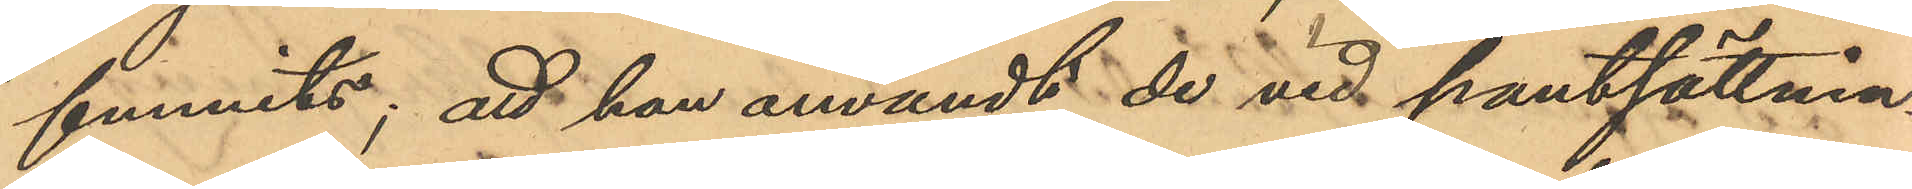funnits; att han användt de vid pantsättnin¬
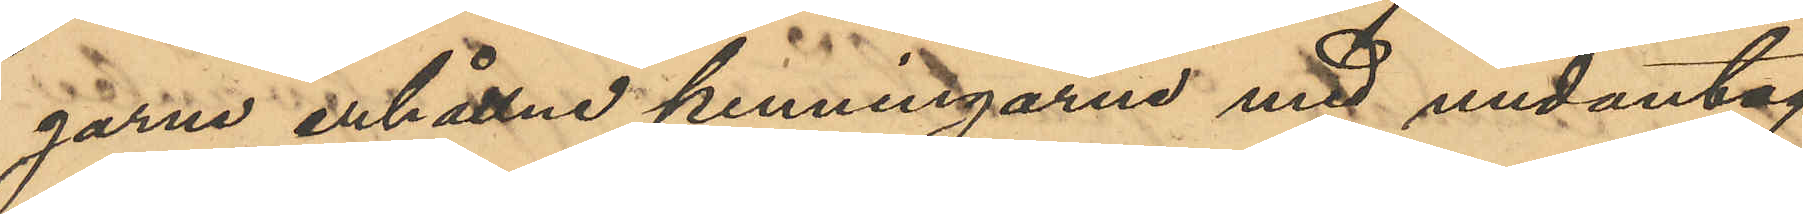garna erhållne penningarne med undantag
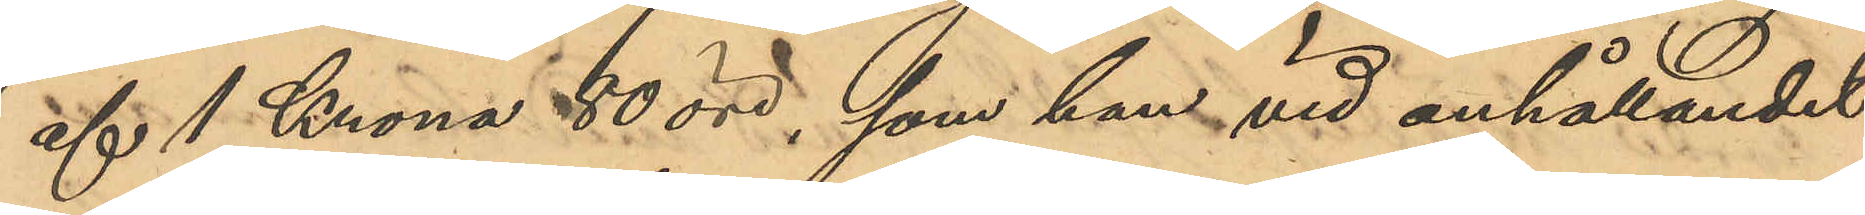af 1 Krona 80 öre, som han vid anhållandet
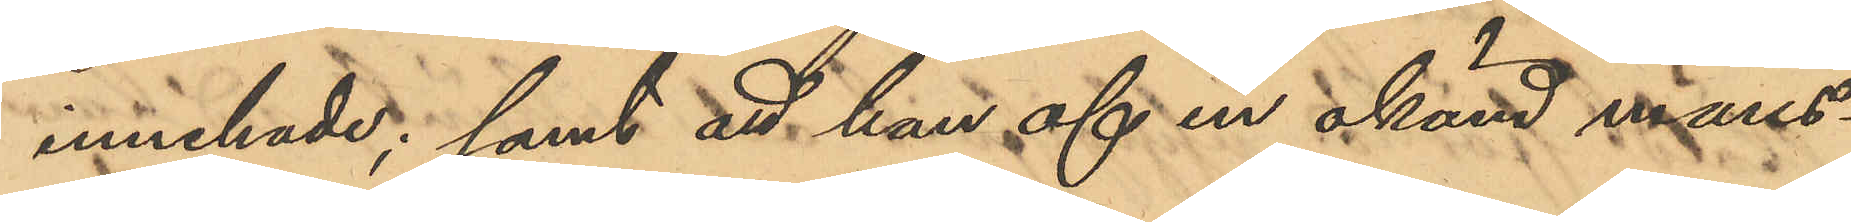innehade; samt att han af en okänd mans¬
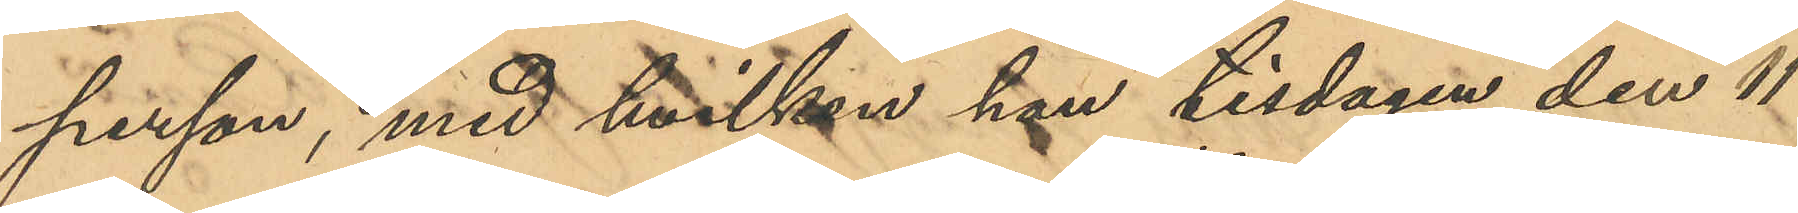person, med hvilken han tisdagen den 11
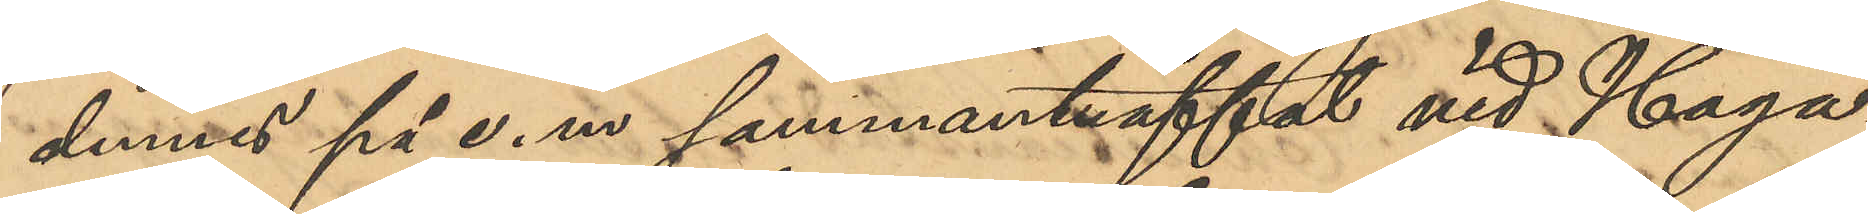dennes på e. m sammanträffat vid Haga¬
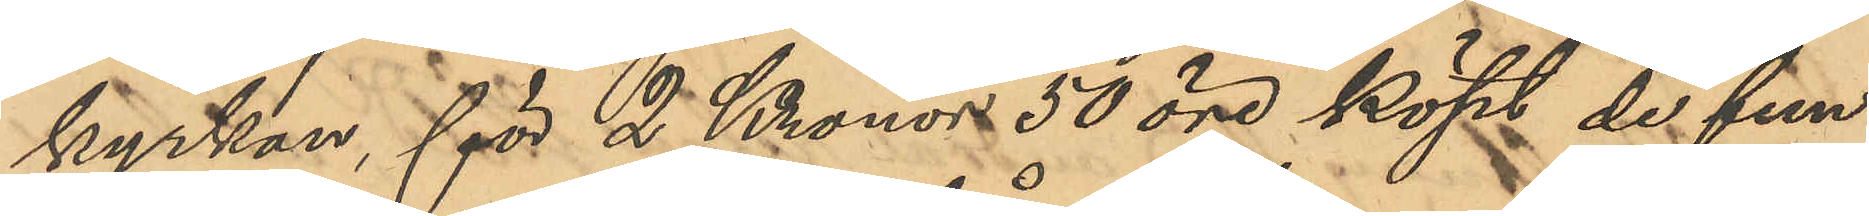kyrkan, för 2 Kronor 50 öre köpt de fin¬
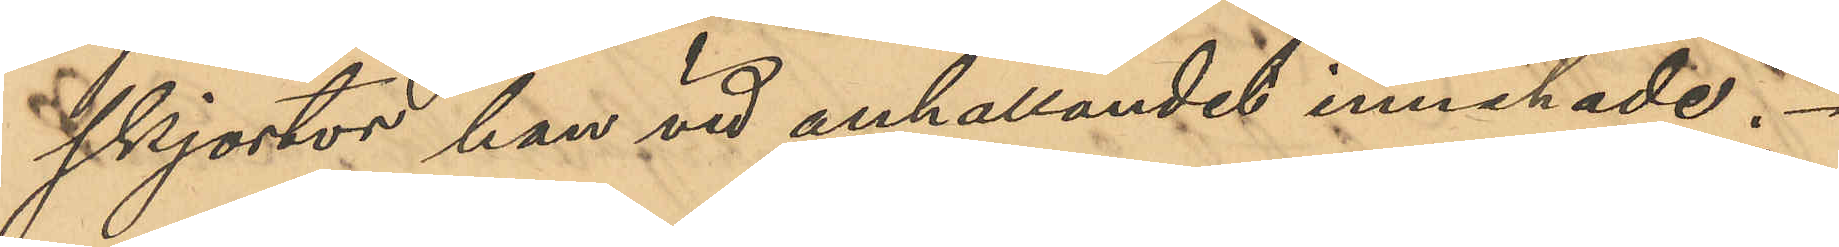skjortor han vid anhållandet innehade.
